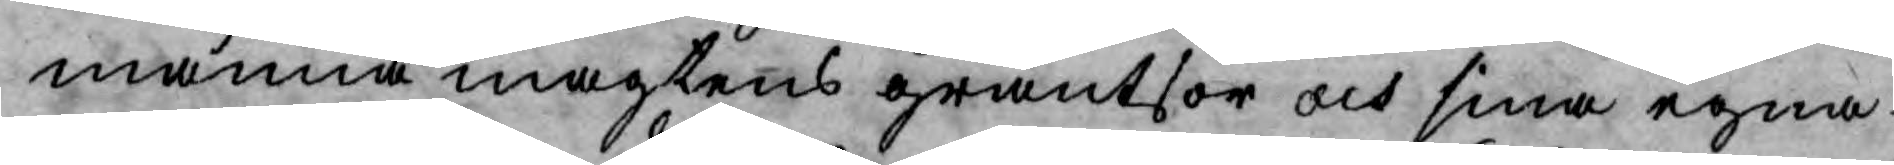manna magtens gräntsor och sina egna
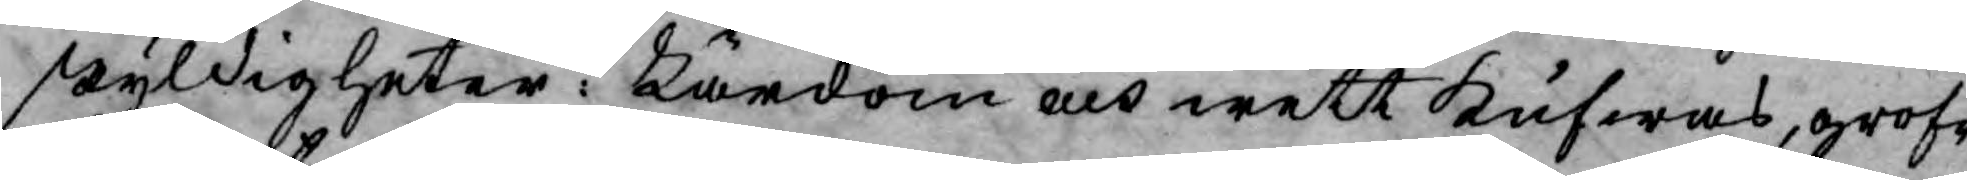skyldigheter: Lärdom och wett kufwas, grof¬
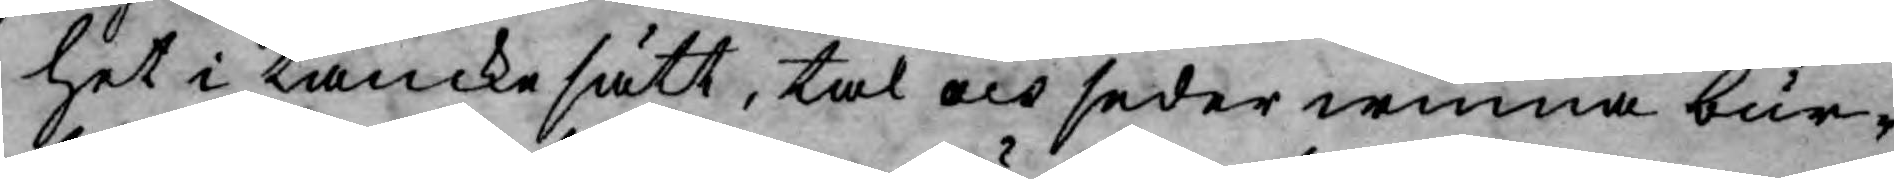het i tanckesätt, tal och seder winna bur¬
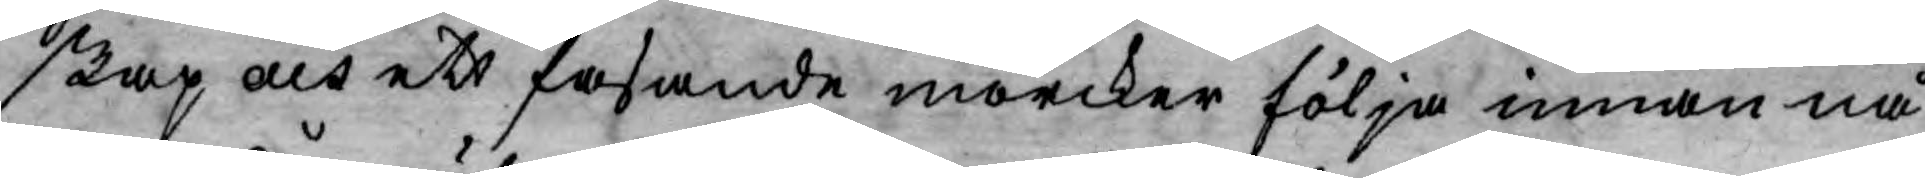skap och ett fasande mörcker följa innan nå¬
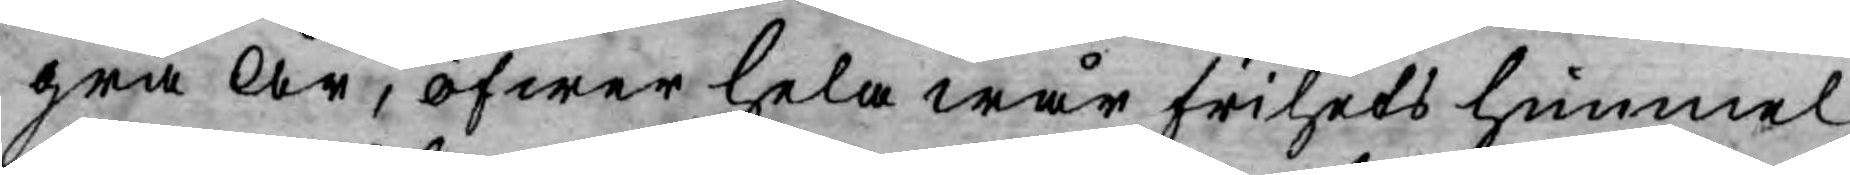gra År, öfwer hela wår frihets himmel.
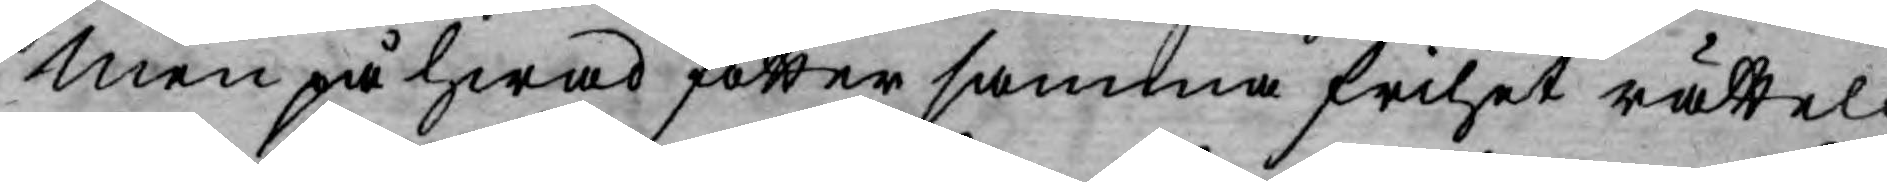Men på hwad fötter samma frhet rätteli¬
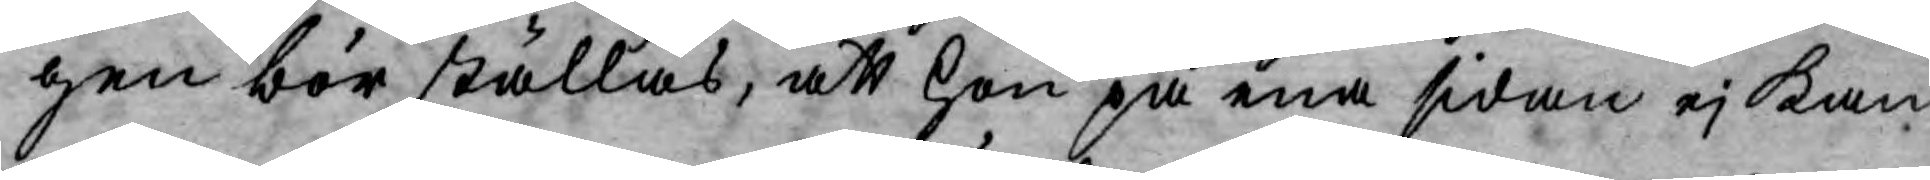gen bör ställas, att hon på ena sidan ej kan
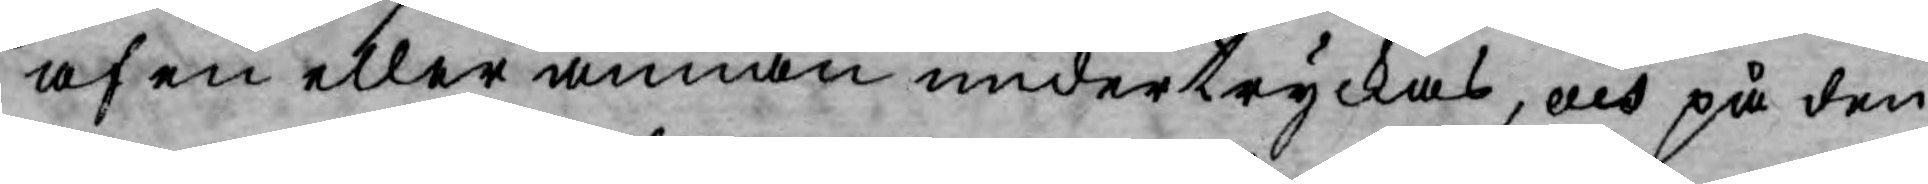af en eller annan undertryckas, och på den
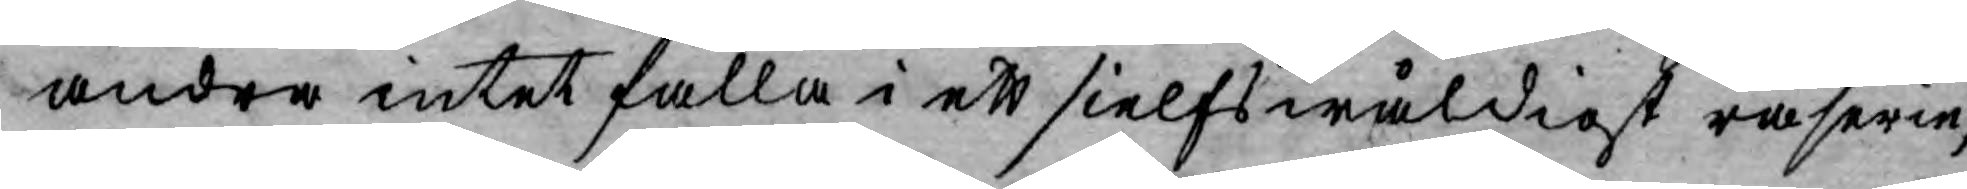andra intet falla i ett sielfswåldigt raserie,
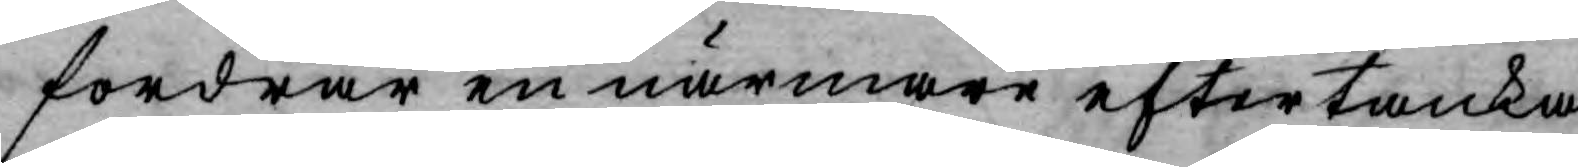fordrar en närmare eftertanka.
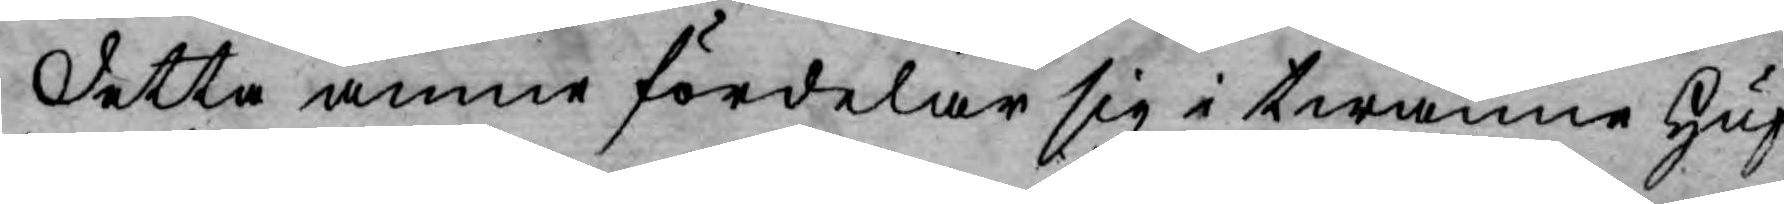Detta ämne fördelar sig i twänne Huf¬
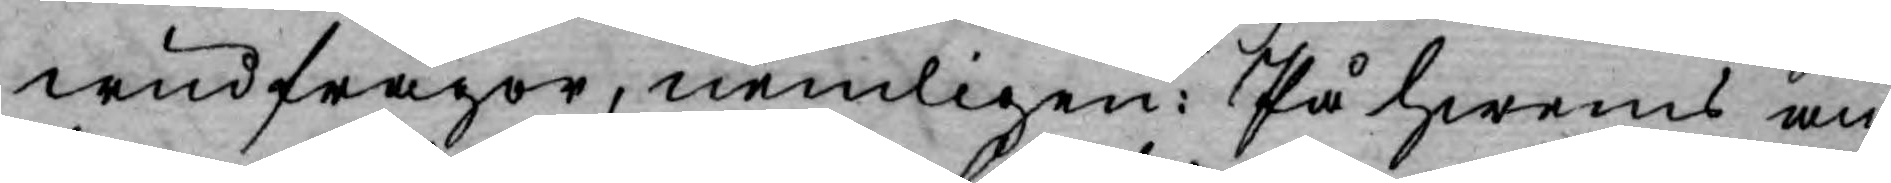wudfrågor, nemligen: På hwems an¬
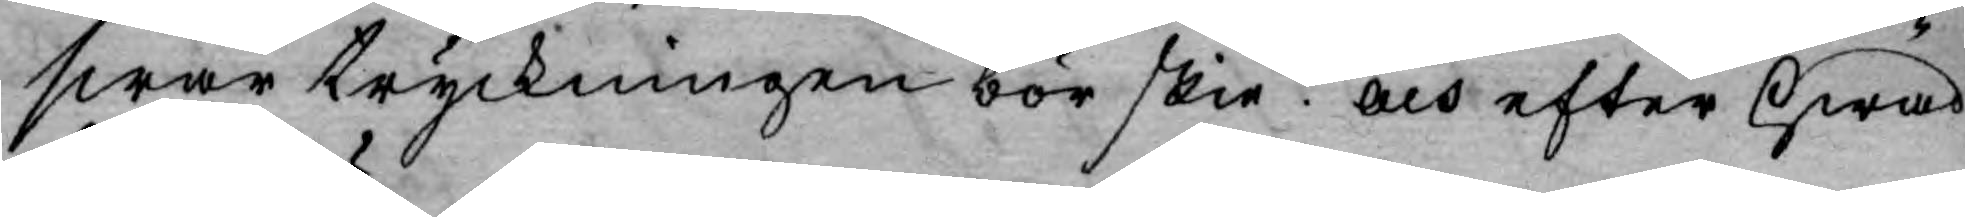swar tryckningen bör skie? och efter hwad
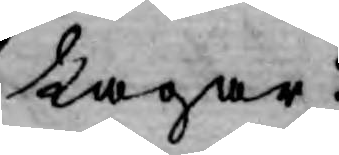Lagar?
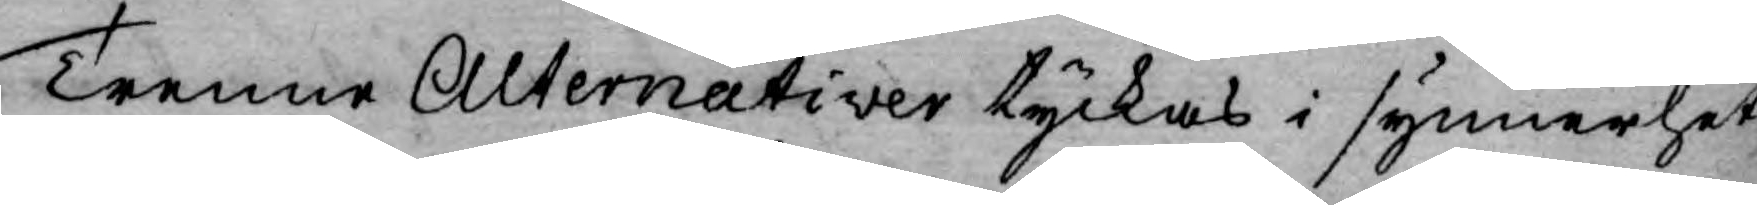Trenne Alternativer tyckas i synnerhet,
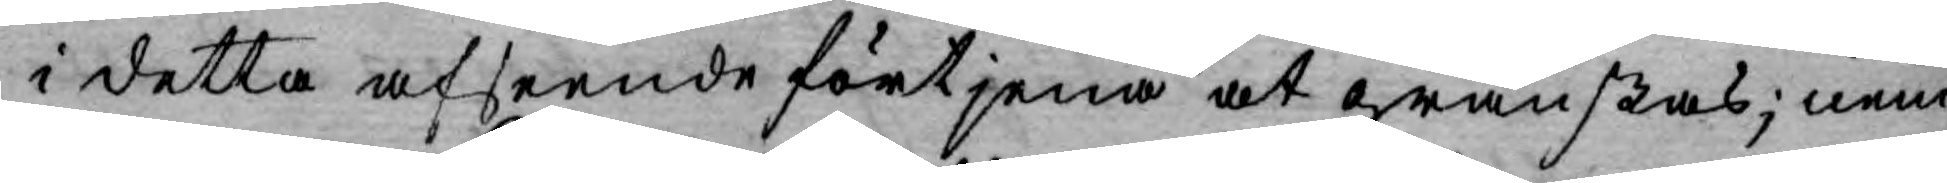i detta afseende förtjena at granskas; nem¬
